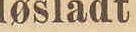løsladt
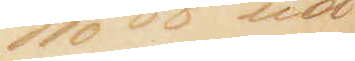22/10 88 ud¬
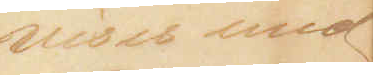vises med
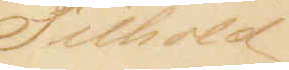Tilhold
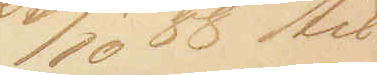23/10 88 til
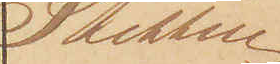Stettin
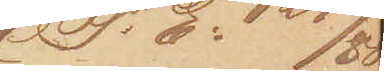(P: E: 129/88)
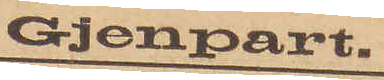Gjenpart.
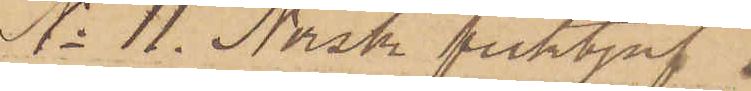No 11. Norsk ficktjuf
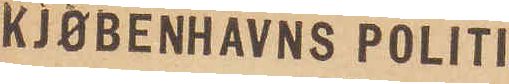KJØBENHAVNS POLITI.
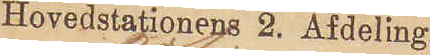Hovedstationens 2. Afdeling.
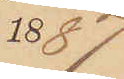1887
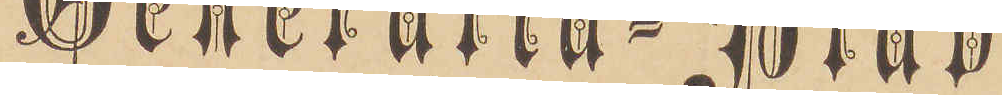Generalia-Blad
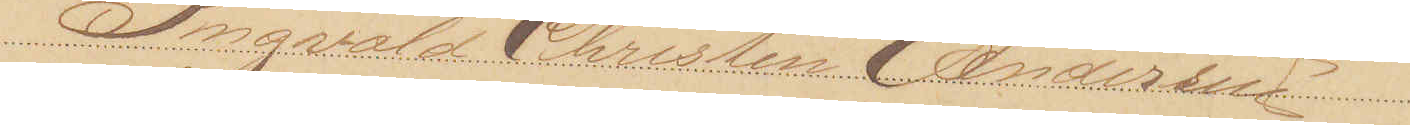Ingvald Christen Andersen
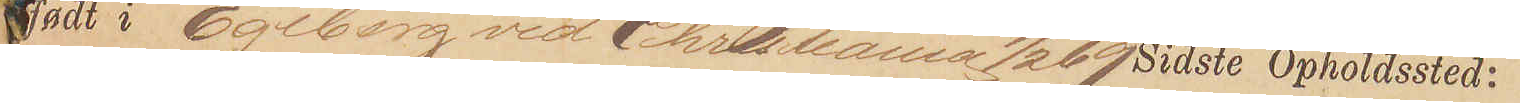født i Egeberg ved Christiania 9/2 69 Sidste Opholdssted:
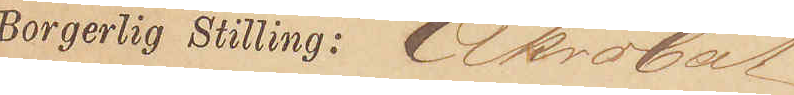Borgerlig Stilling: Akrobat
